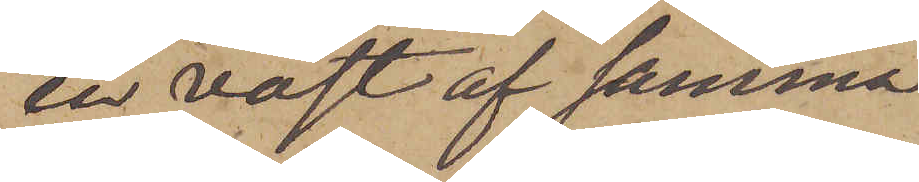en väst af samma
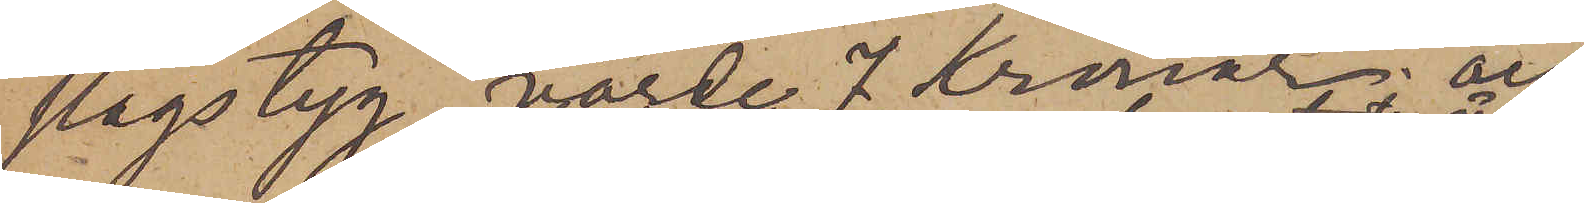slags tyg, värde 7 Kronor; och
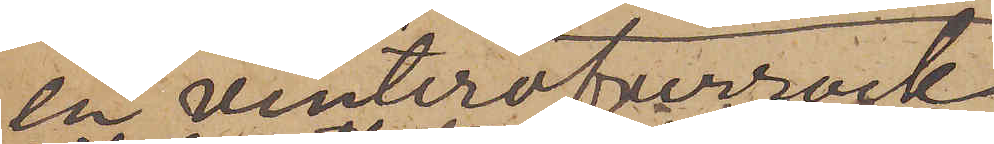en vinteröfverrock
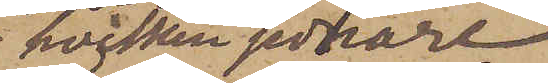hvilken sednare
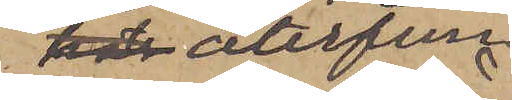har återfun¬
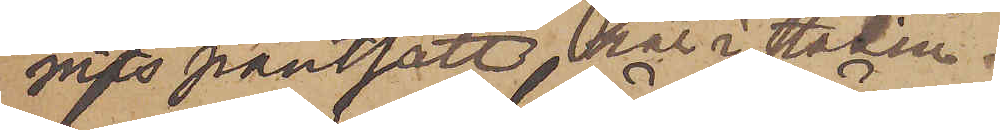nits pantsatt här i staden.
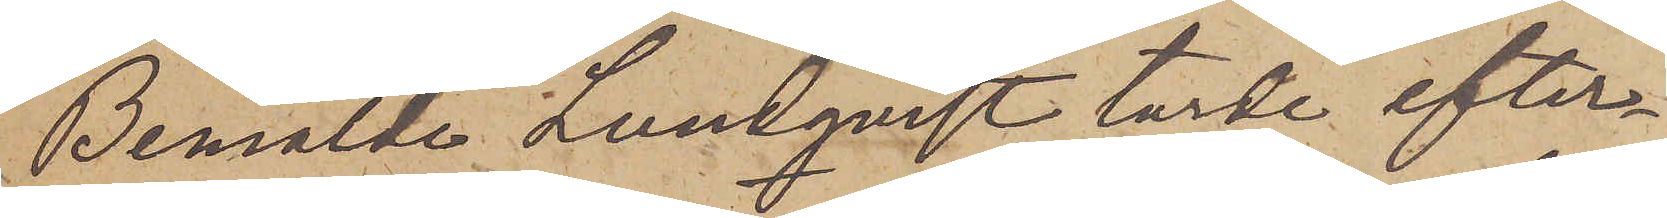Bemälde Lundqvist torde efter¬
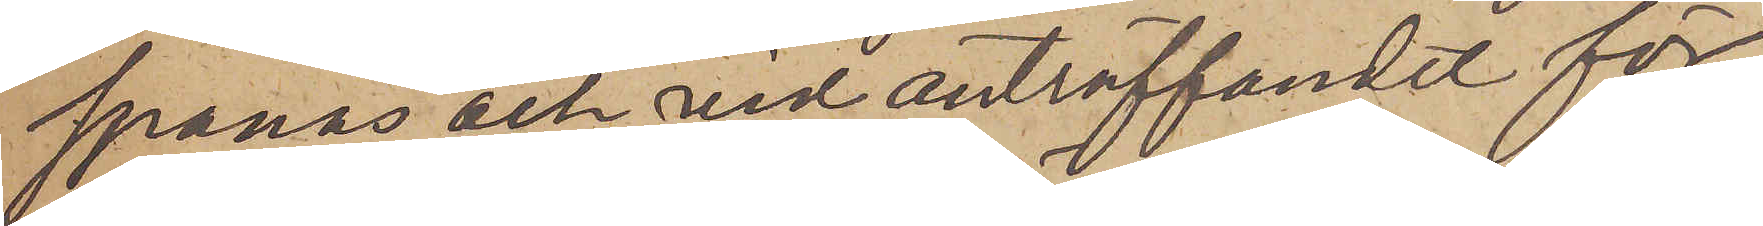spanas och vid anträffandet för¬
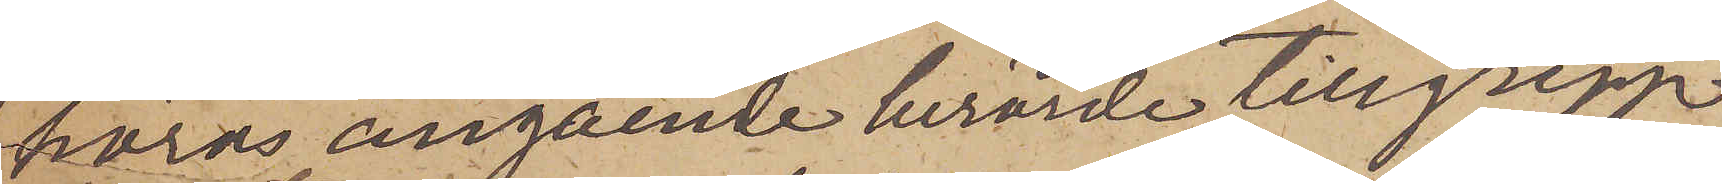höras angående berörde tillgrepp,
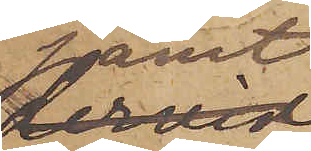samt
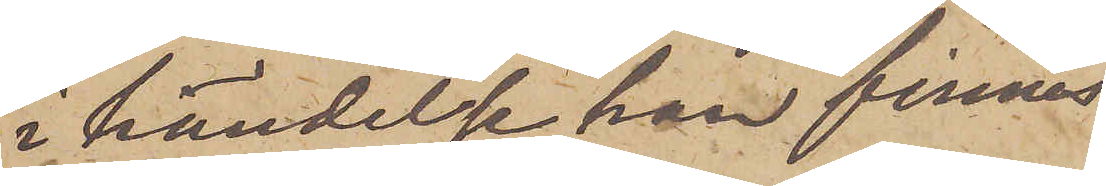i händelse han finnes
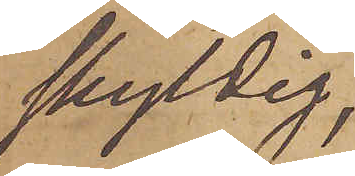skyldig,
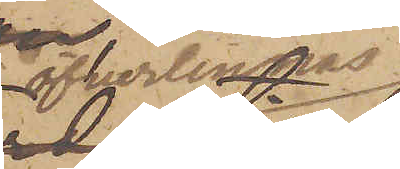öfverlemnas
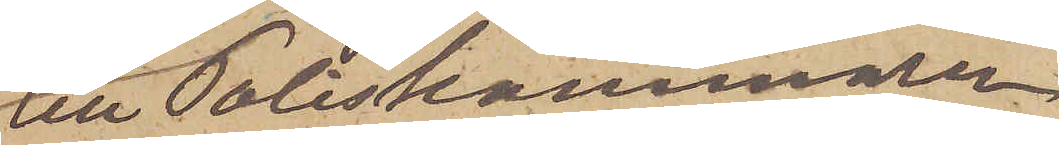till Poliskammaren
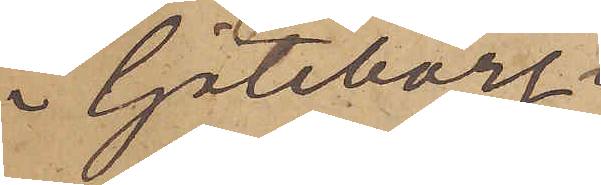i Göteborg.
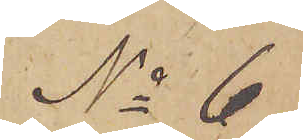No 6.
